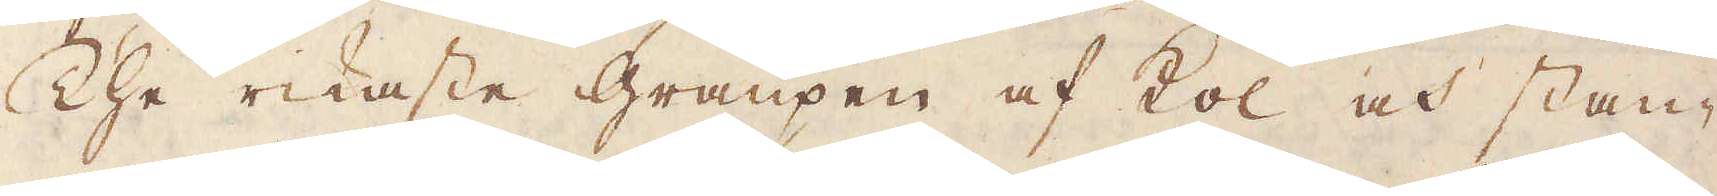The rikaste graupen af kol och stan-
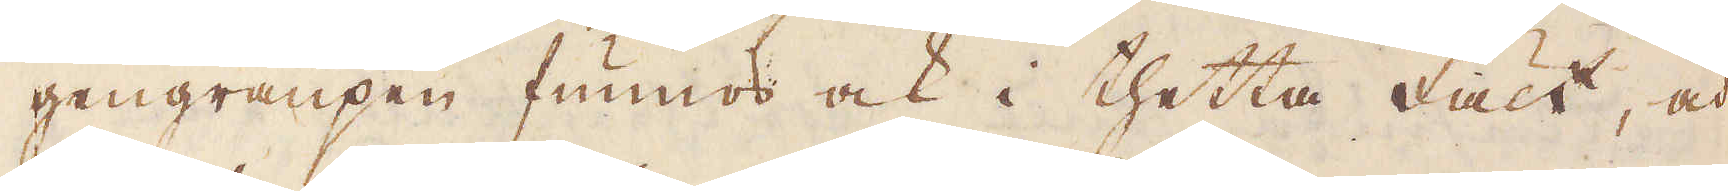gengraupen funnos ock i thetta fält, och
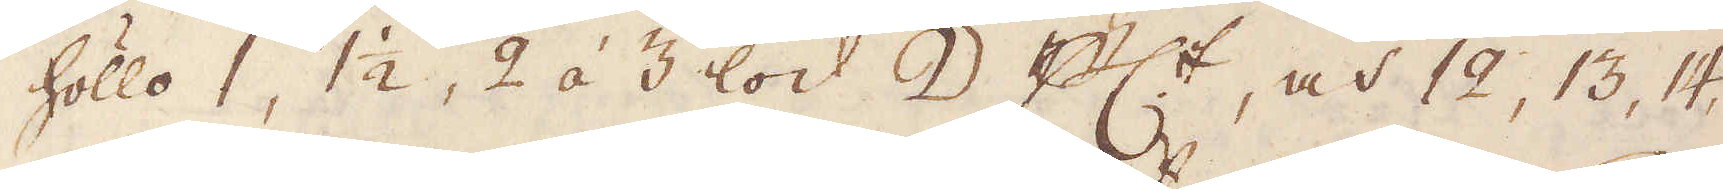höllo 1, 1 1/2, 2 á 3 lod ☽ p:ct, och 12, 13, 14,
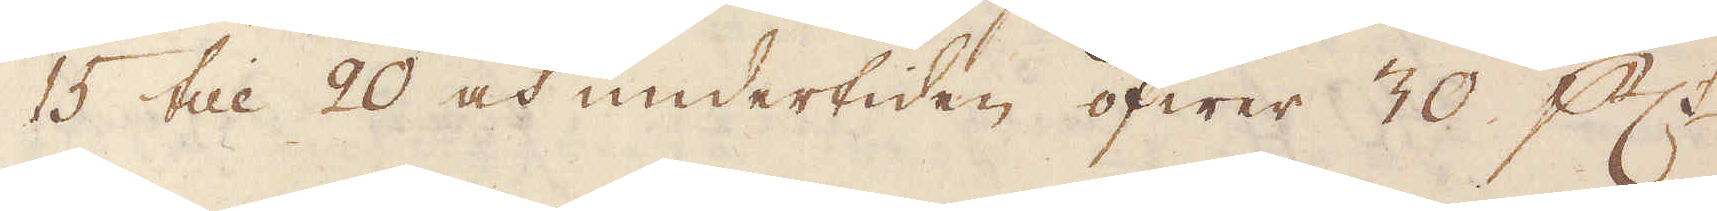15 till 20 och undertiden öfwer 30 p:ct
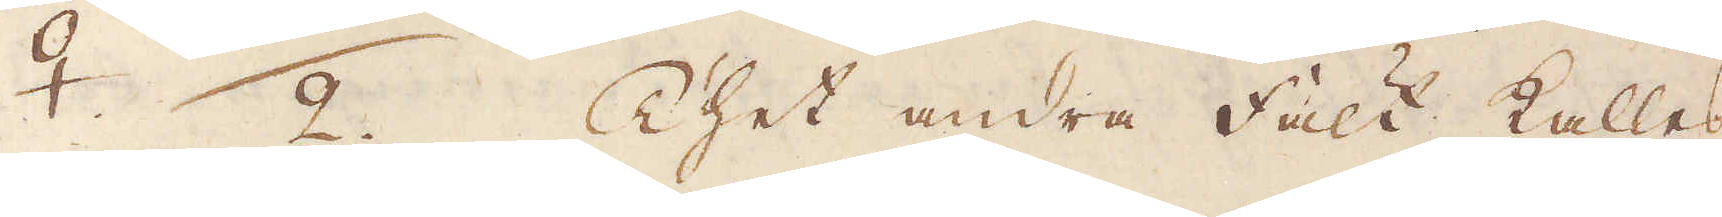♀. 2. Thet andra fält kallas
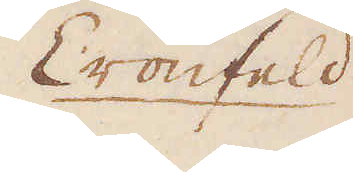Cronfeld
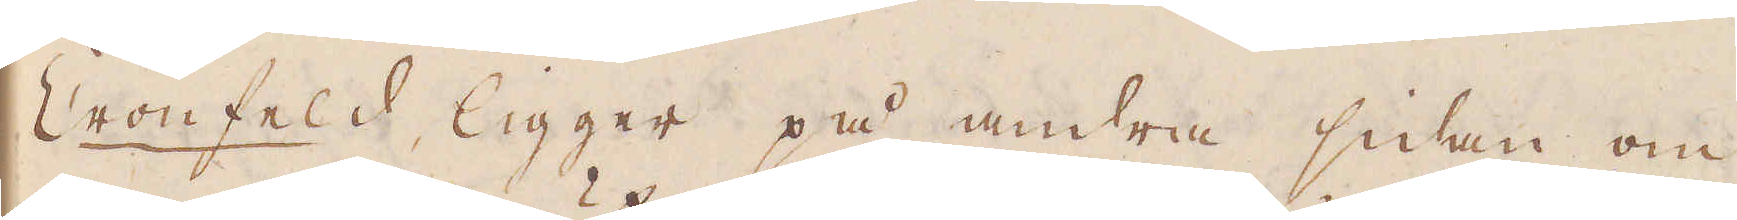Cronfeld, ligger på andra sidan om
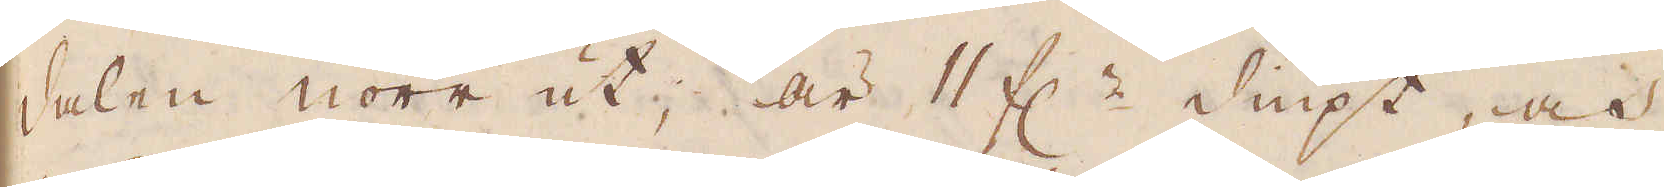dalen norr ut, är 11 f:r diupt, och
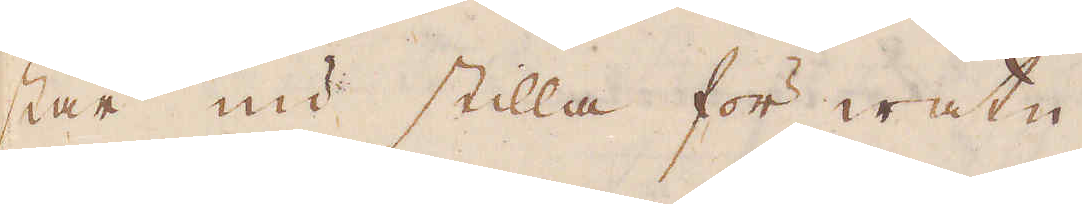står nu stilla för watn
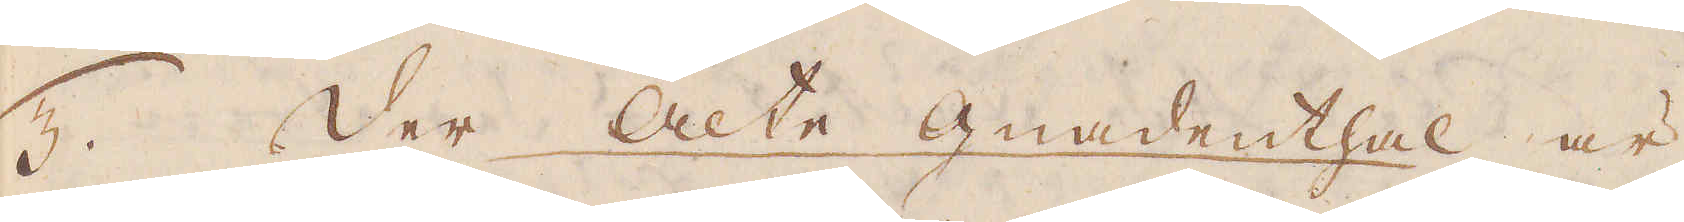5. der Alte gnadenthal är
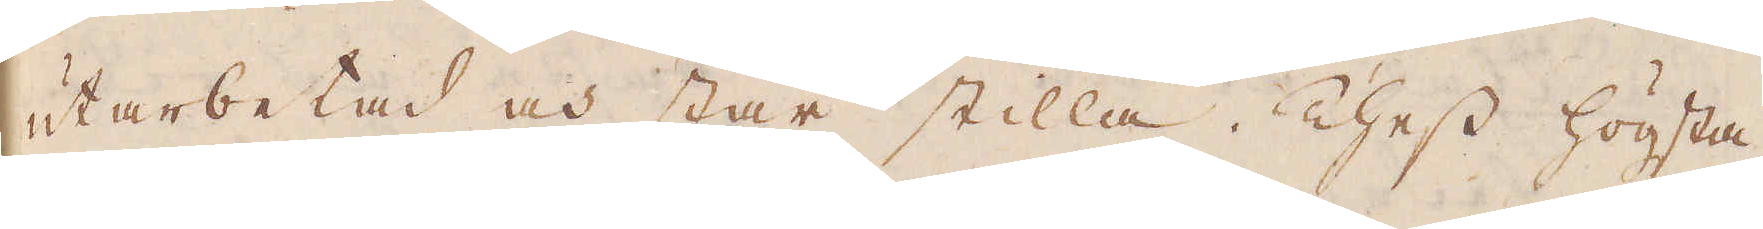utarbetad och står stilla. Thess högsta
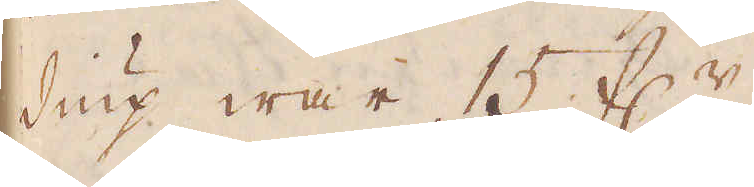diup war 15 f:r
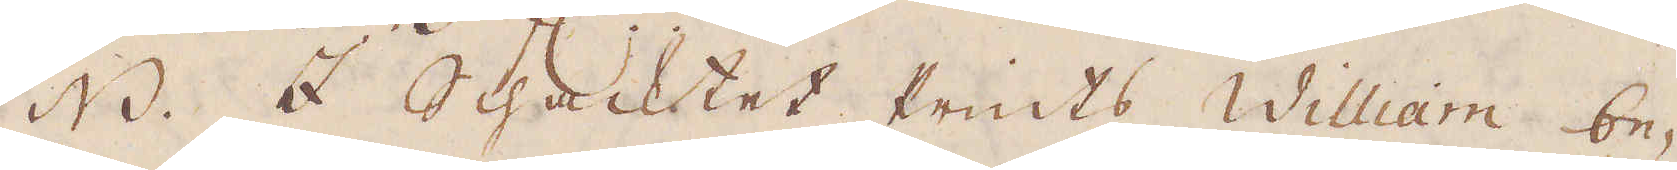NB. I Schacktet Prints William be-
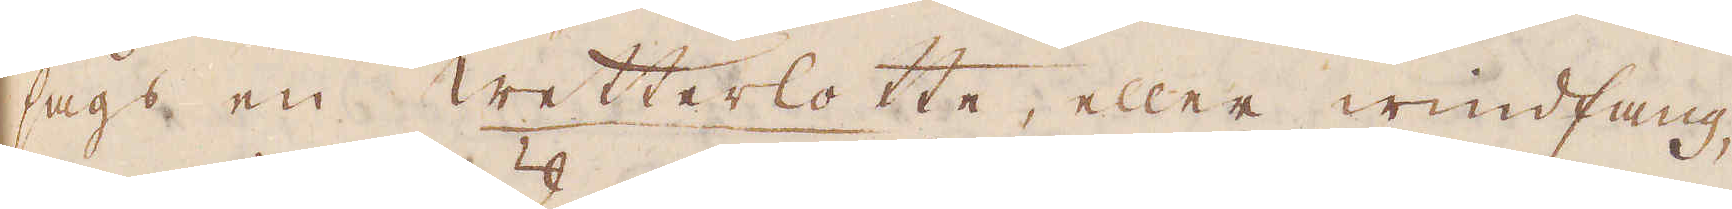sågs en wetterlotte, eller windfang,
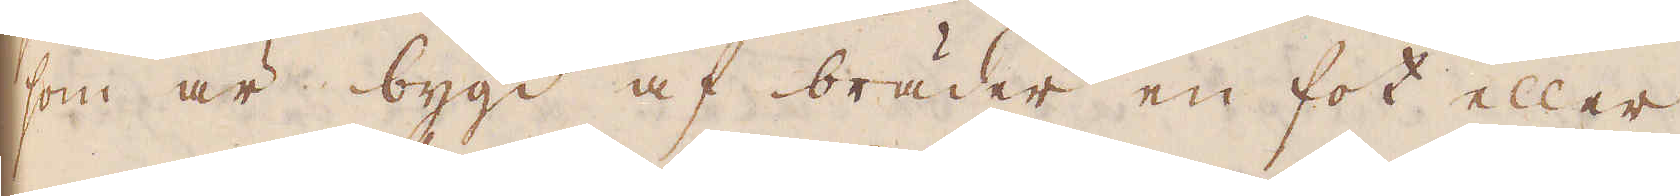som är bygd af bräder en fot eller
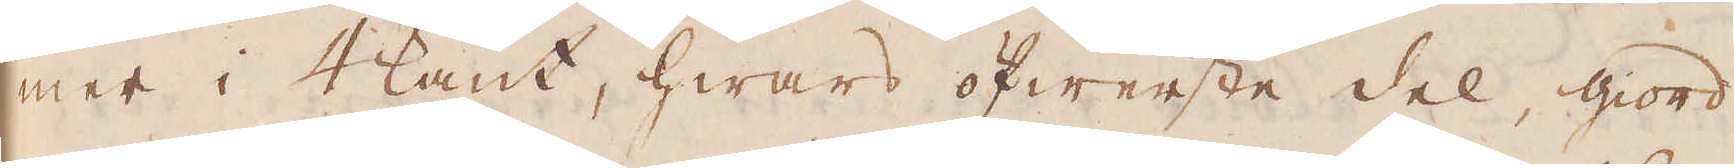mer i 4kant, hwars öfwerste del, giord
